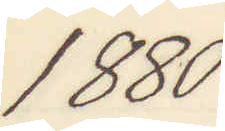1880
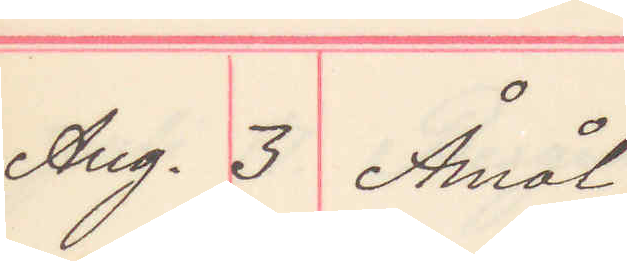Aug. 3 Åmål
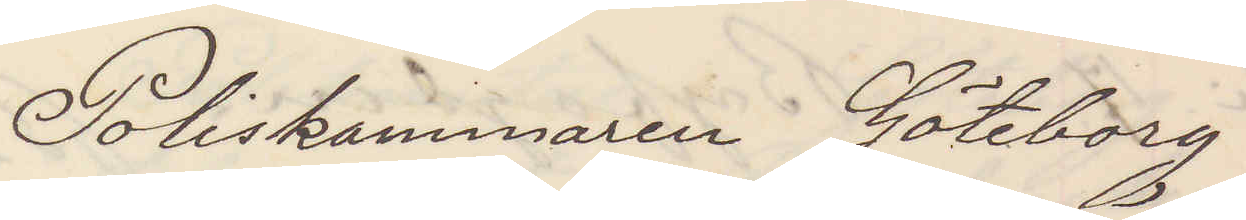Poliskammaren Göteborg
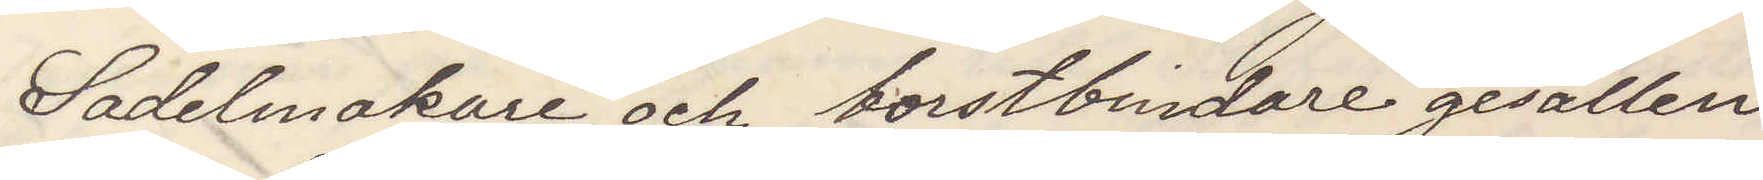Sadelmakare och borstbindare gesällen
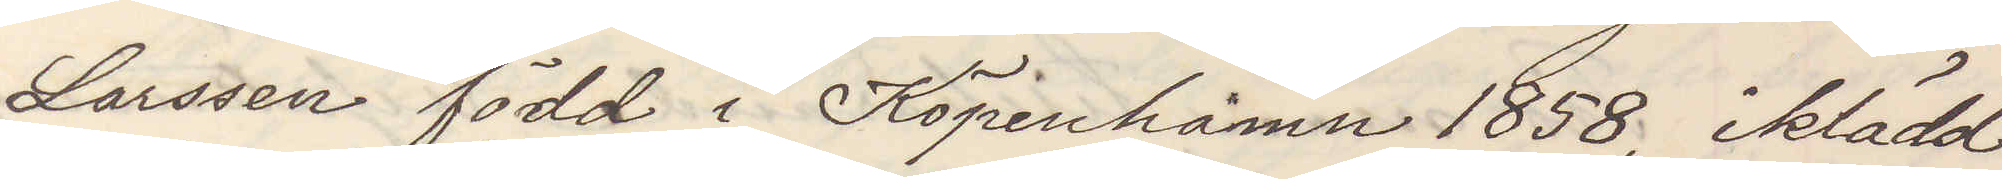Larssen född i Köpenhamn 1858, iklädd
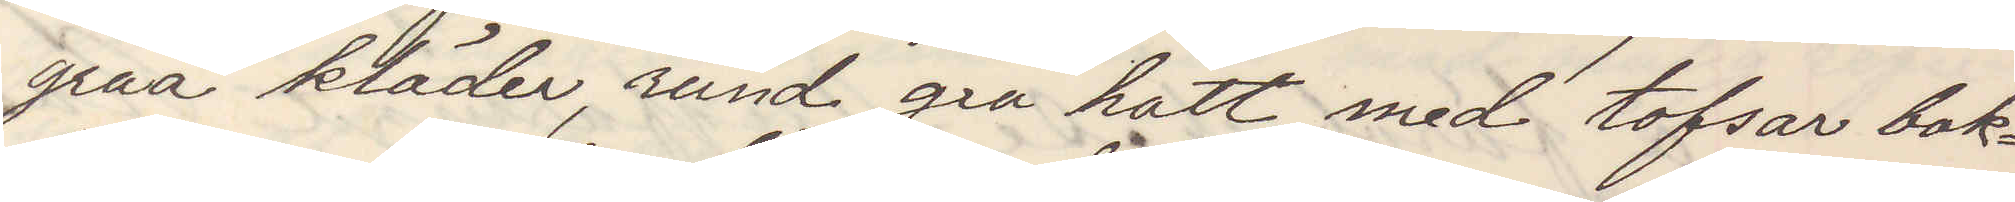gråa kläder, rund grå hatt med tofsar bak¬
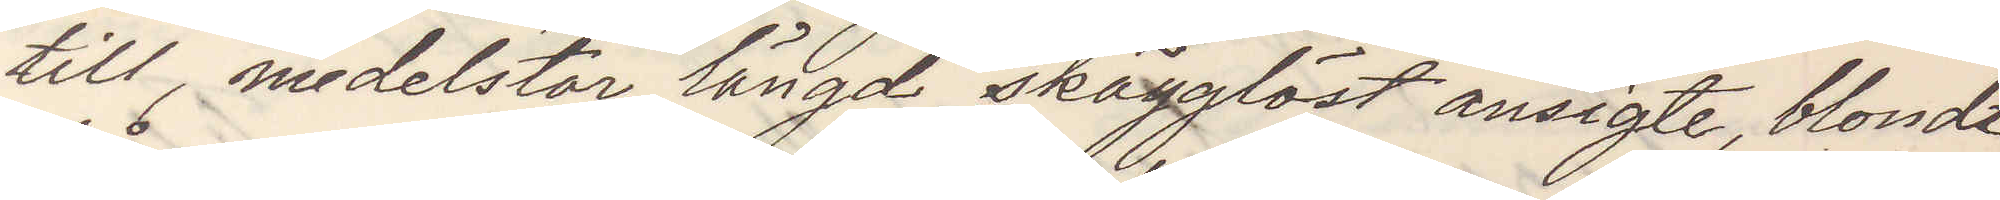till, medelstor längd, skägglöst ansigte, blondt
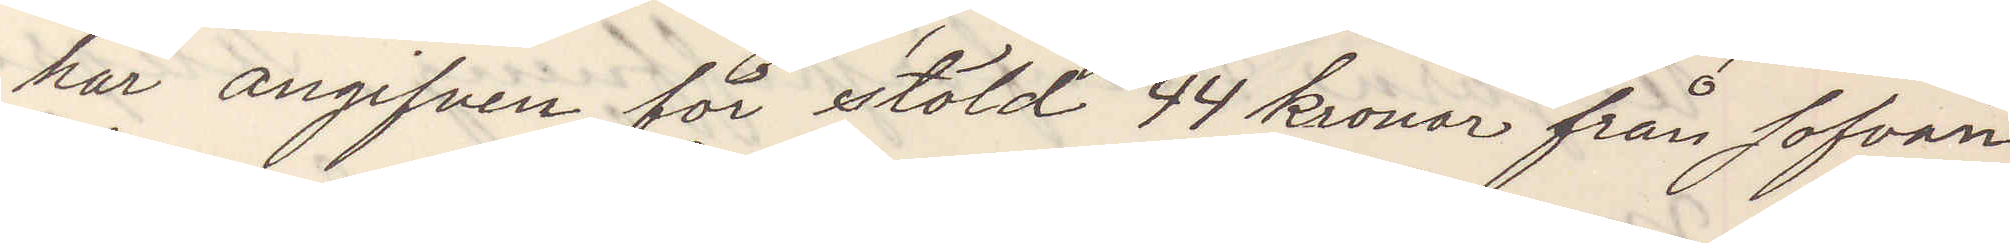hår angifven för stöld 44 kronor från sofvan¬
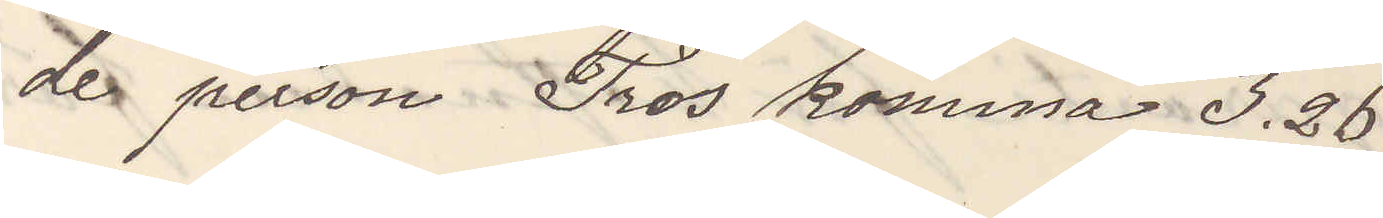de person Tros komma 3.26
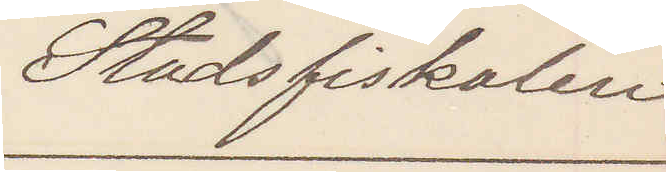Stadsfiskalen
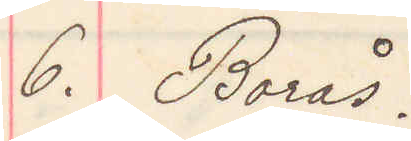6. Borås.
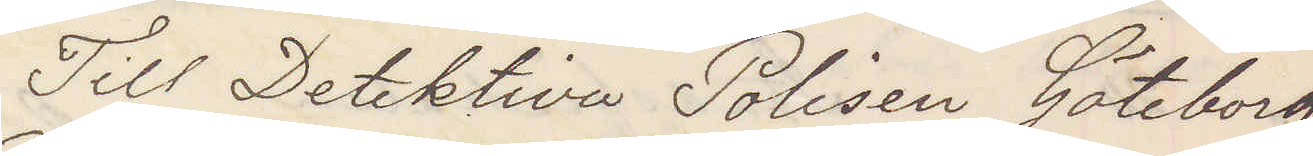Till Detektiva Polisen Göteborg
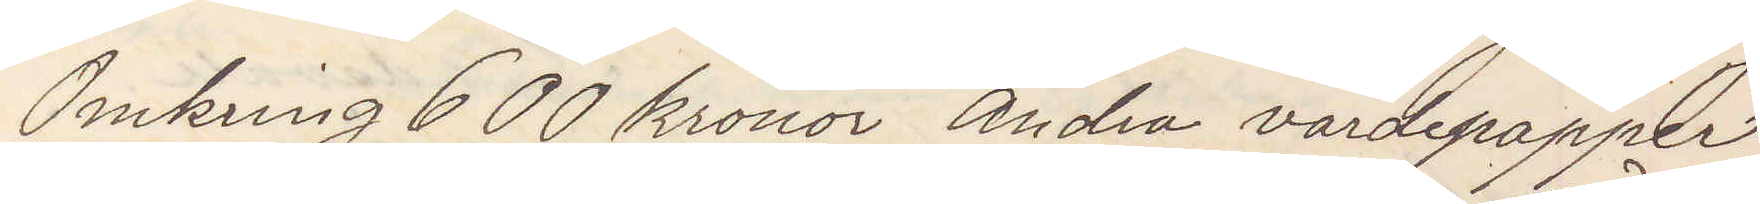Omkring 600 kronor Andra värdepappar
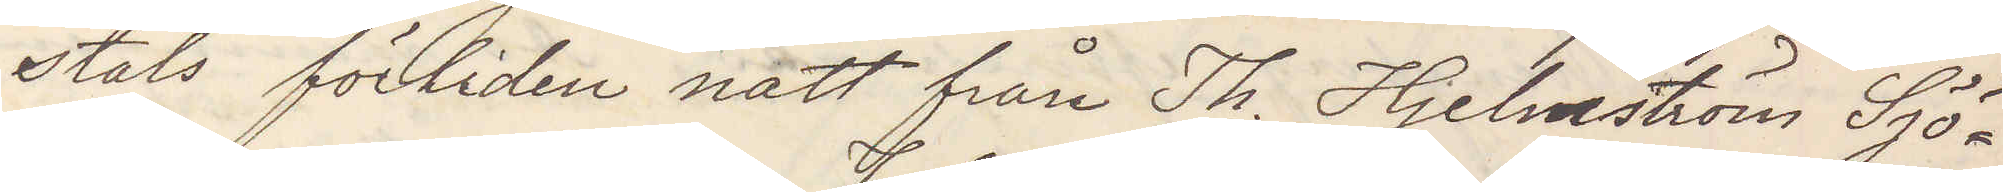stals förliden natt från Th. Hjelmström Sjö¬
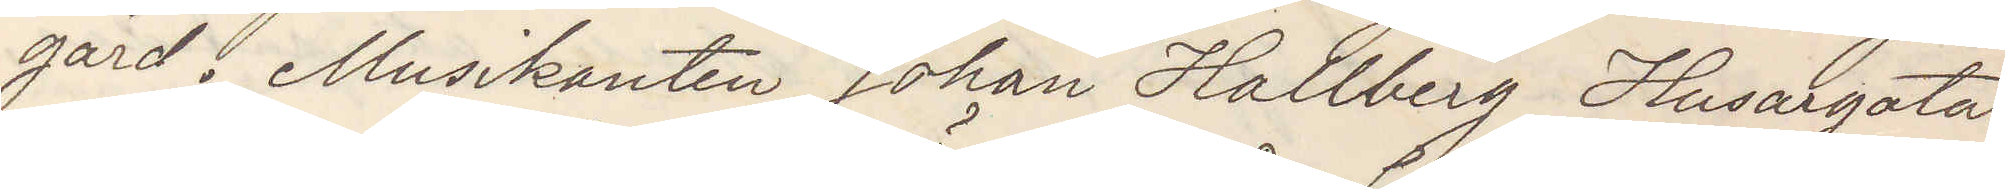gård. Musikanten Johan Hallberg Husargatan
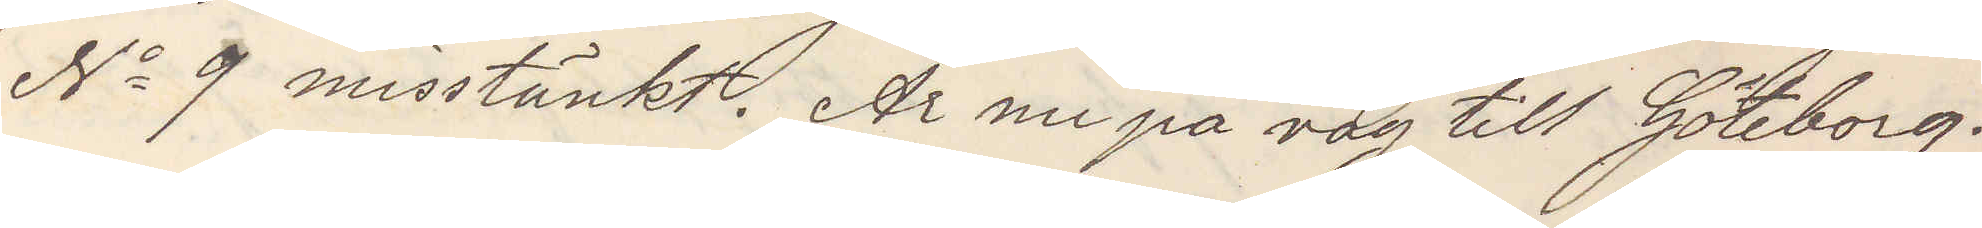No 9 misstänkt. Är nu på väg till Göteborg.
